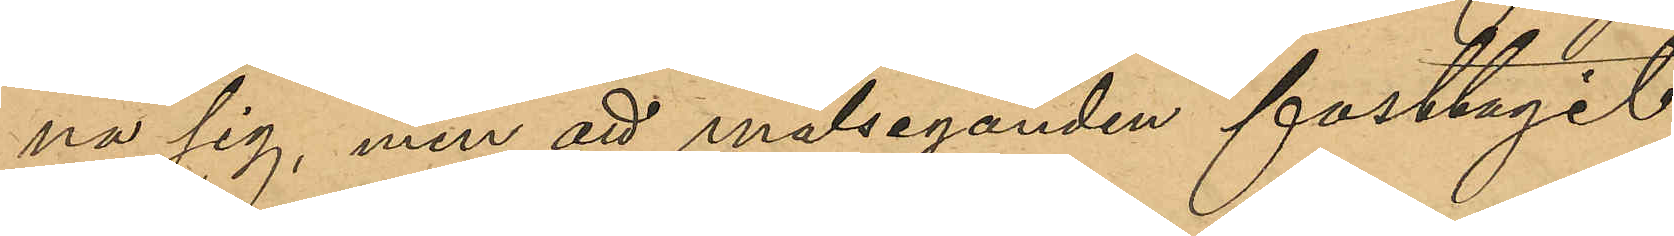na sig, men att målseganden fasttagit
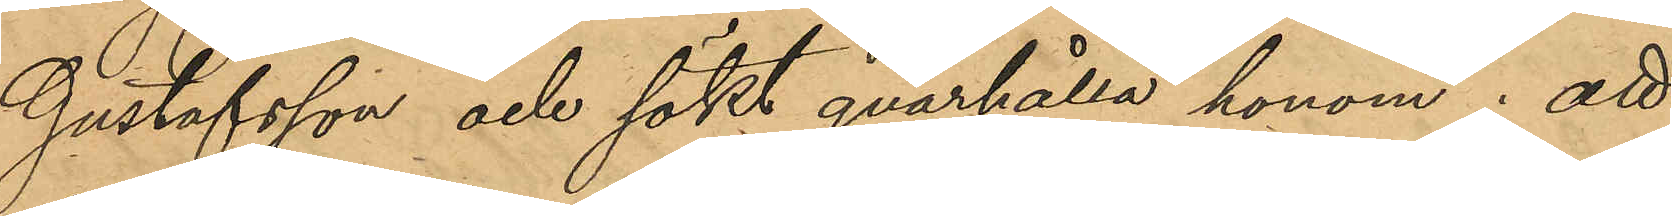Gustafsson och sökt qvarhålla honom; att
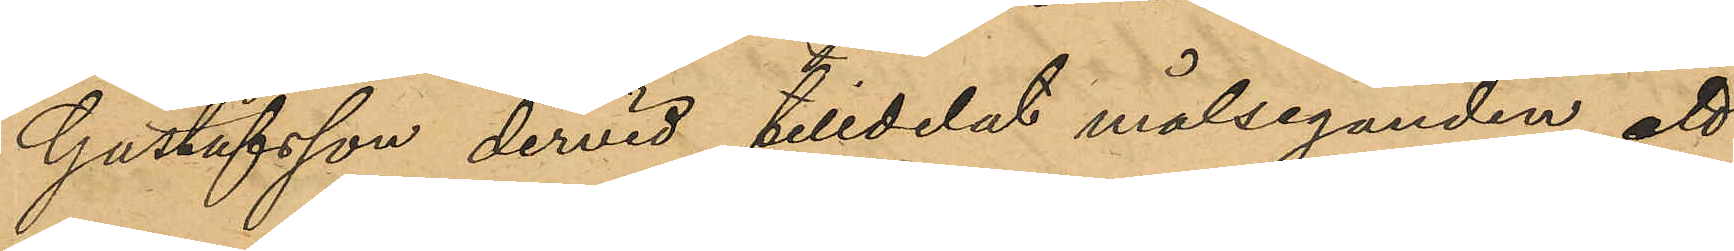Gustafsson dervid tilldelat målseganden ett
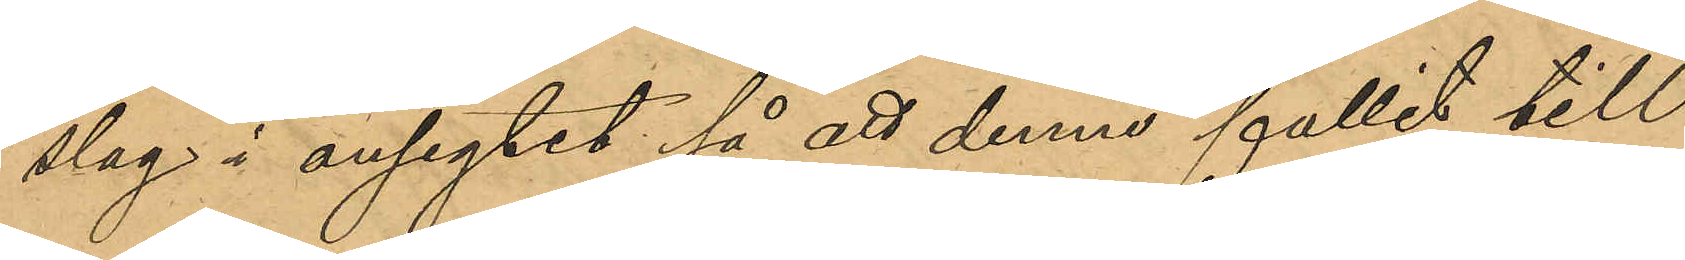slag i ansigtet så att denne fallit till
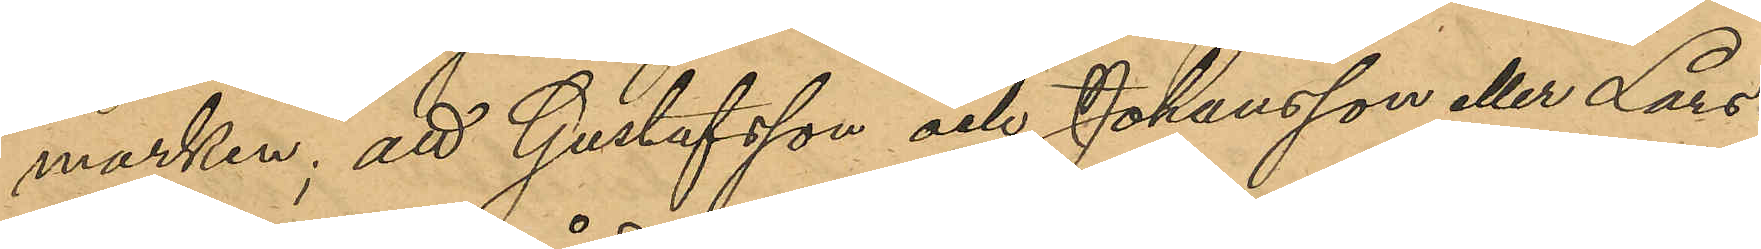marken; att Gustafsson och Johansson eller Lars¬
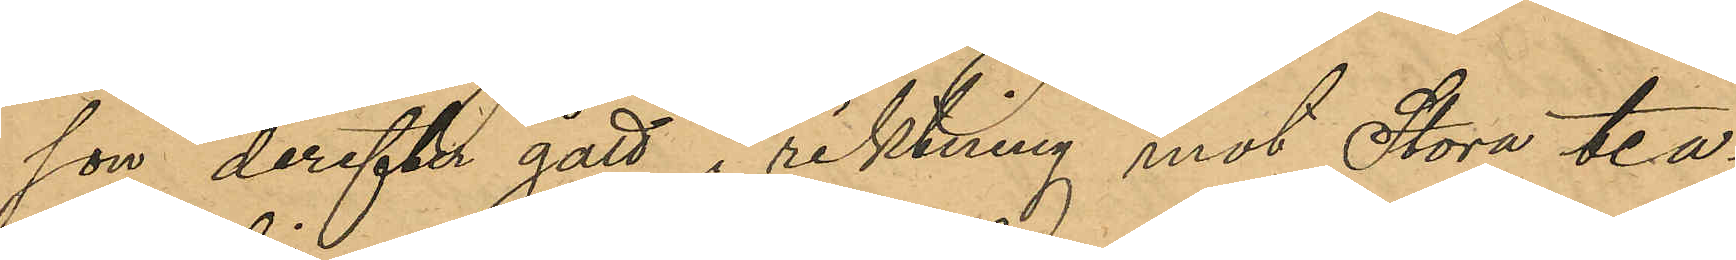son derefter gått i riktning mot Stora tea¬
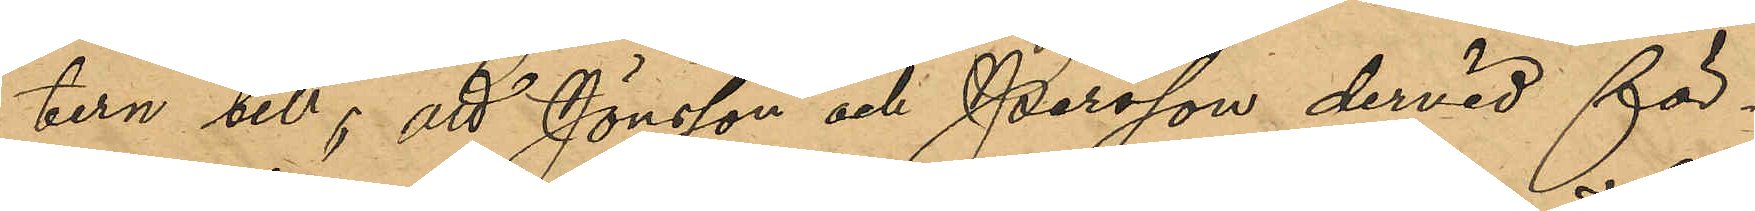tern till; att Jönsson och Persson dervid för¬
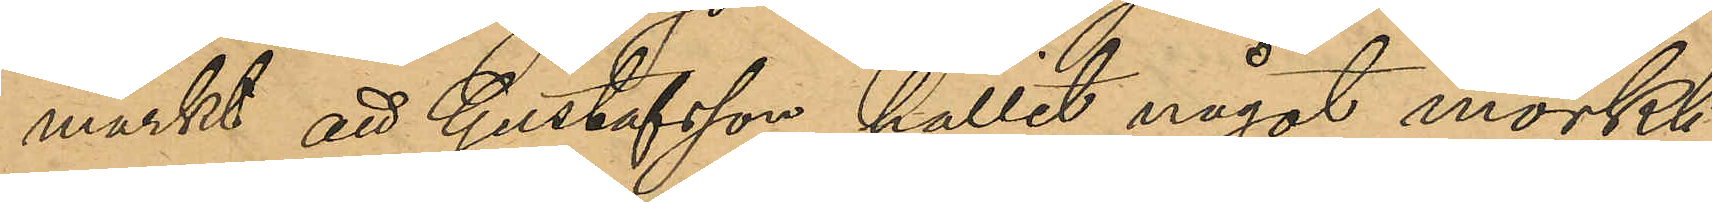märkt att Gustafsson hållit något mörkt
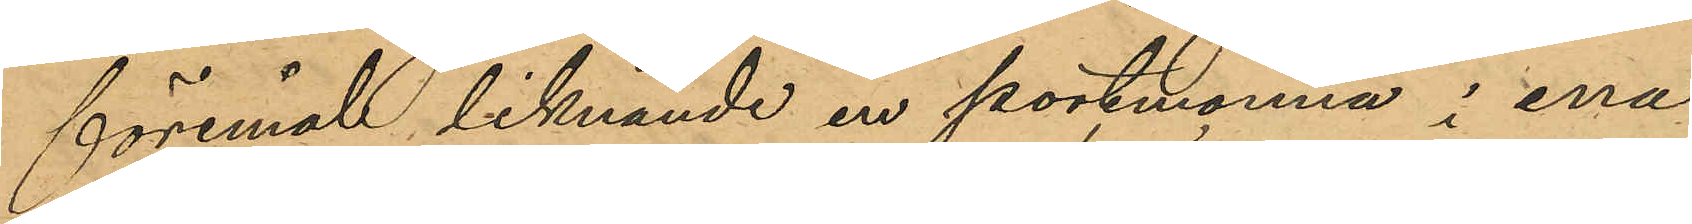föremål liknande en portmonnä i ena
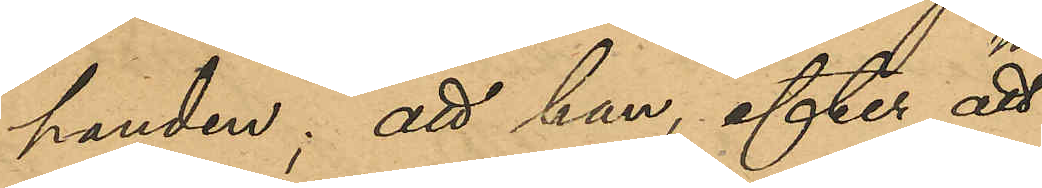handen; att han efter att 
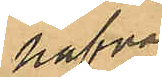hafva 
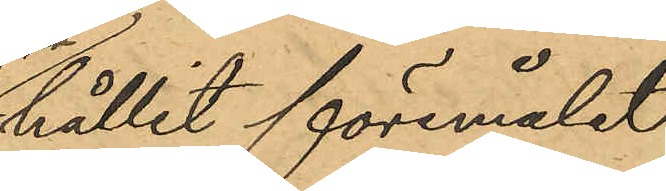hållit föremålet
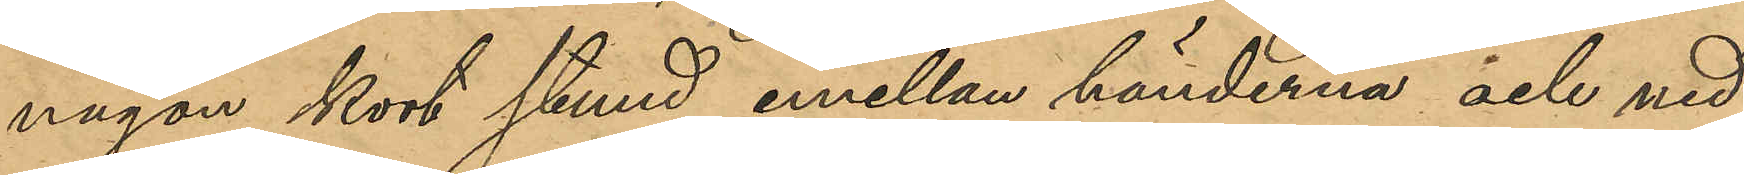någon kort stund emellan händerna och ned¬
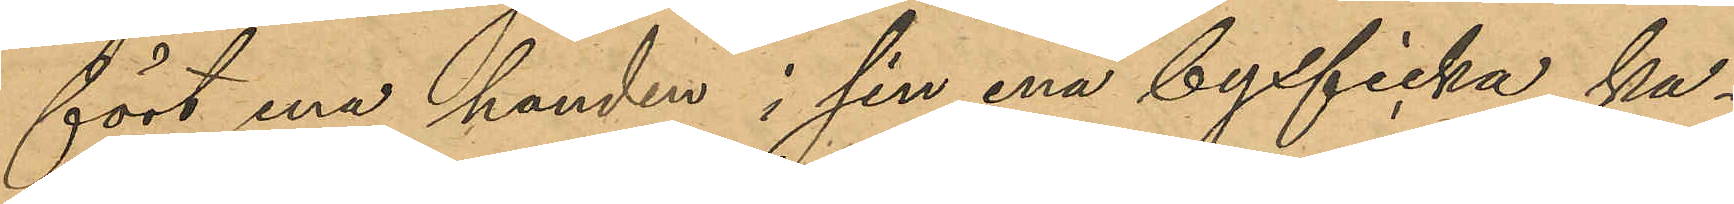fört ena handen i sin ena byxficka, ka¬
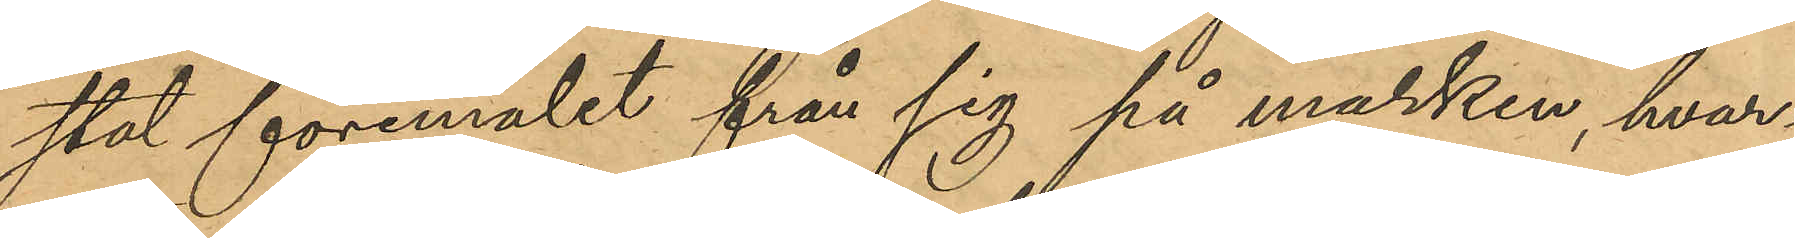stat föremålet från sig på marken, hvar
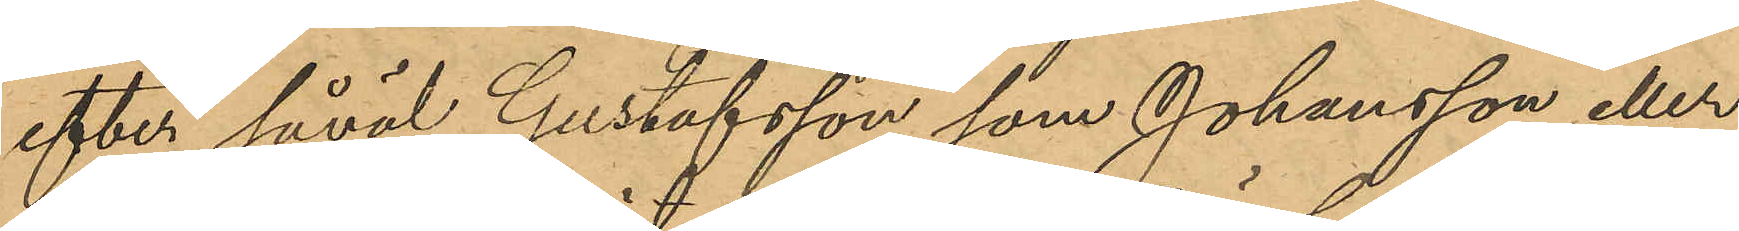efter såväl Gustafsson som Johansson eller
